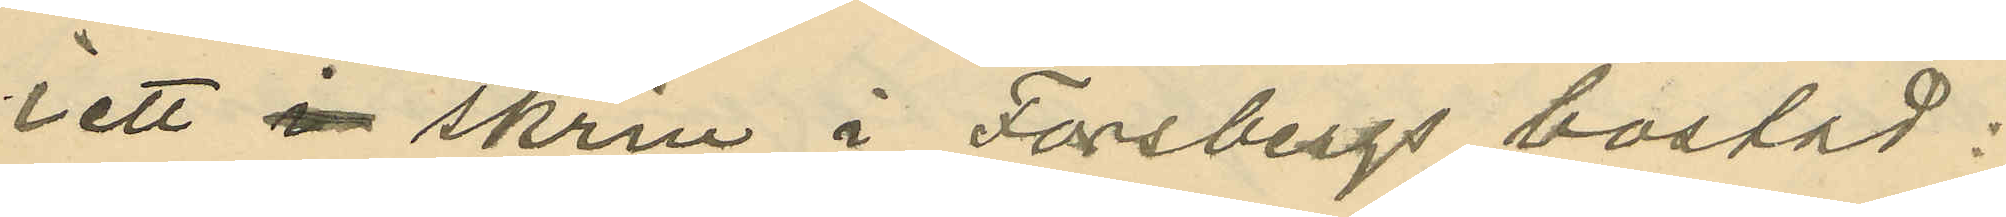i ett skrin i Forsbergs bostad:
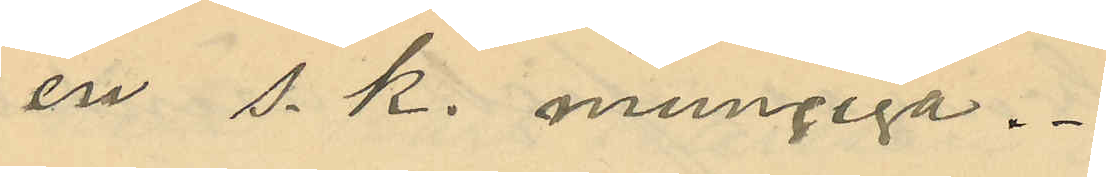en s. k. mungiga.
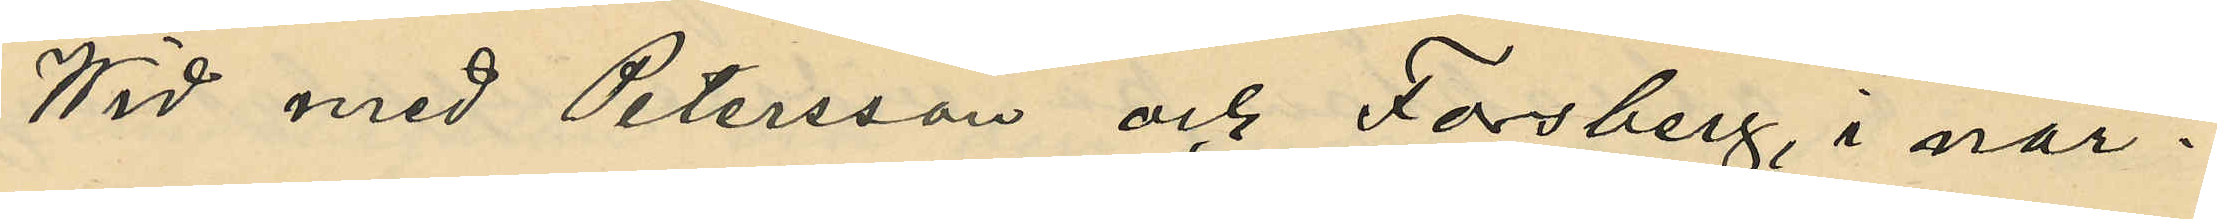Wid med Petersson och Forsberg, i när¬
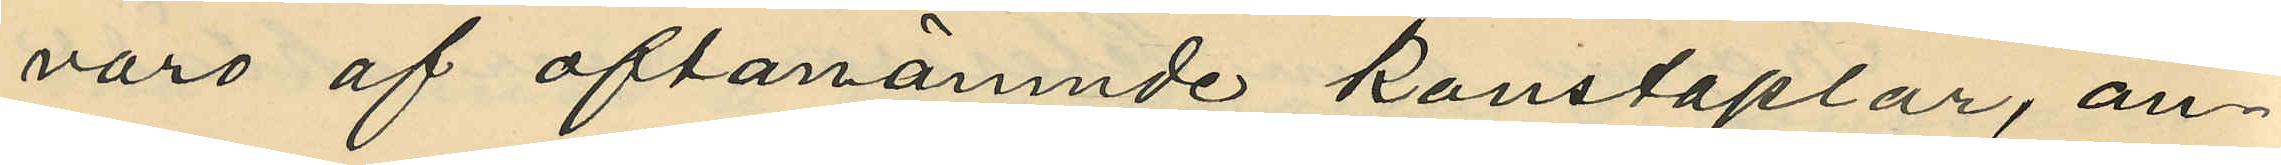varo af oftanämnde konstaplar, an¬
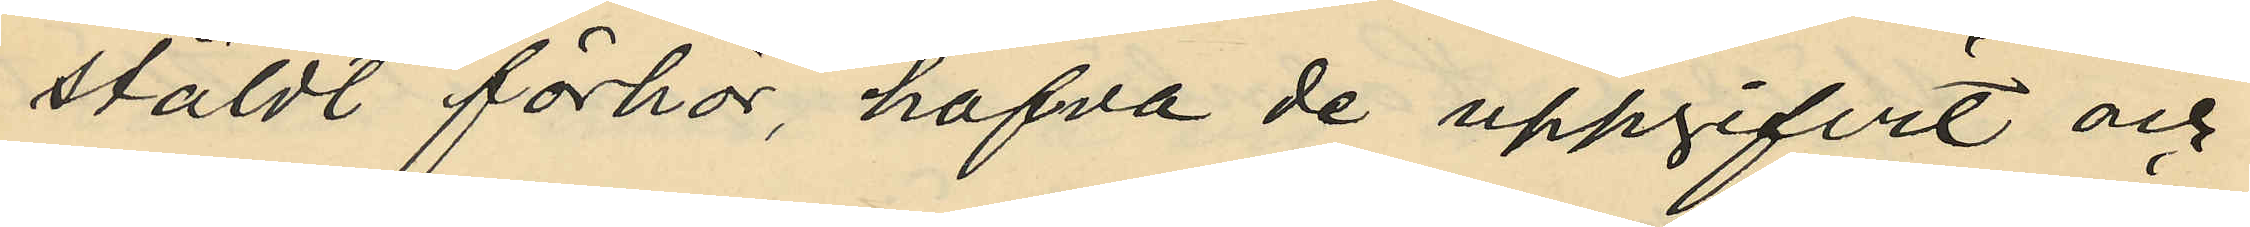stäldt förhör, hafva de uppgifvit och
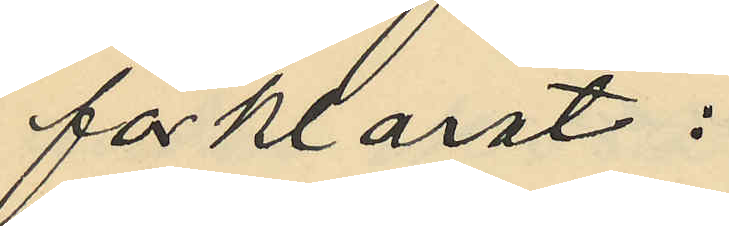förklarat:
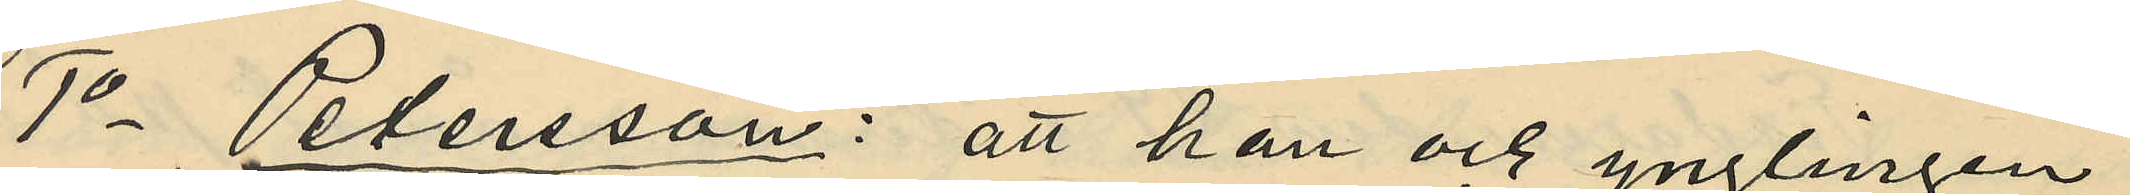1o Petersson: att han och ynglingen
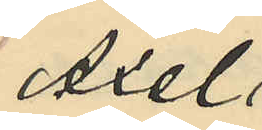Axel
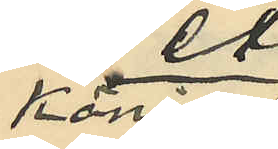König
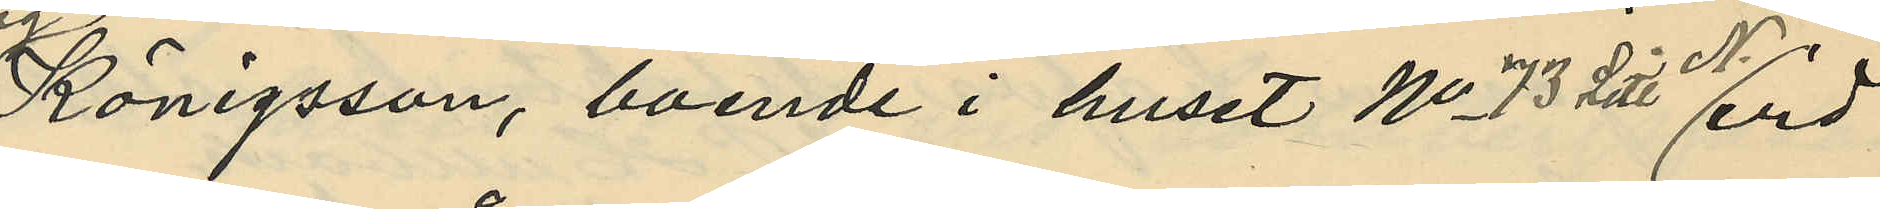Königsson, boende i huset No 73 Litt N. vid
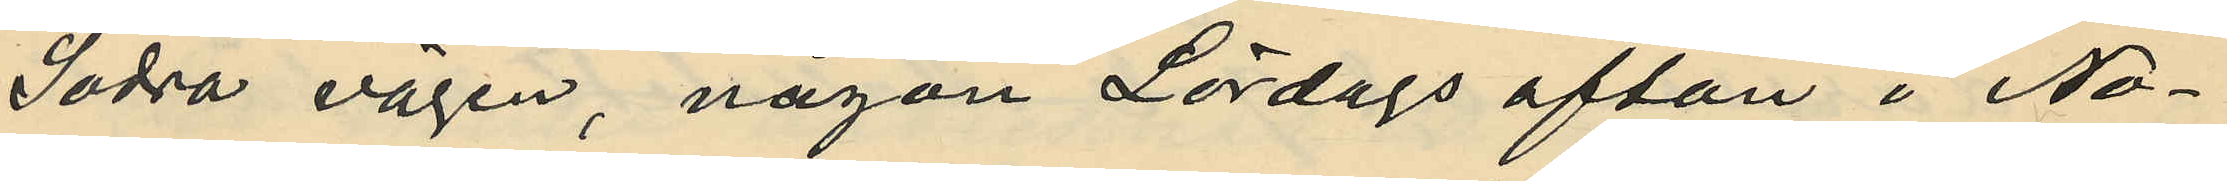Södra vägen, någon Lördags afton i No¬
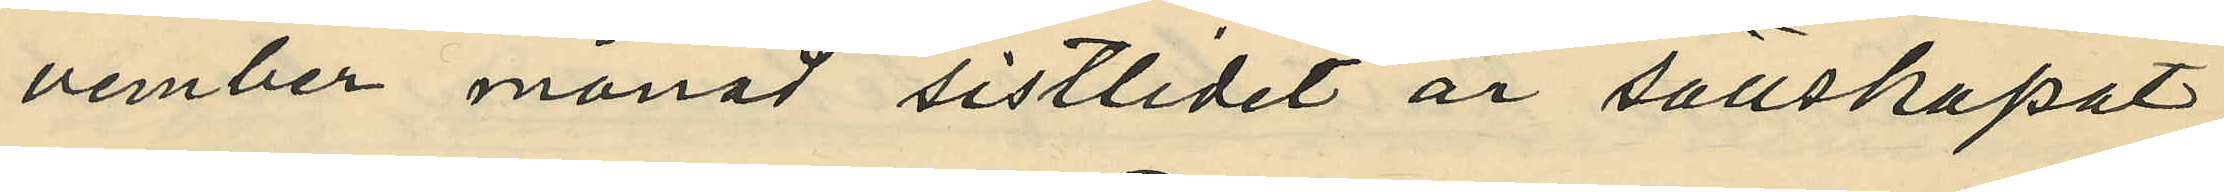vember månad sistlidet år sällskapat
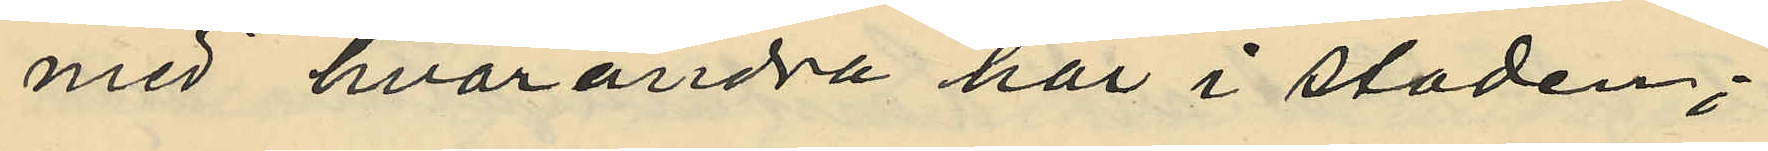med hvarandra här i staden;
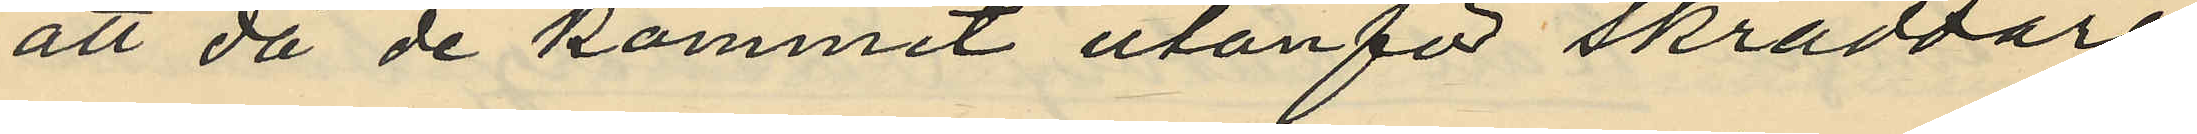att då de kommit utanför skräddare¬
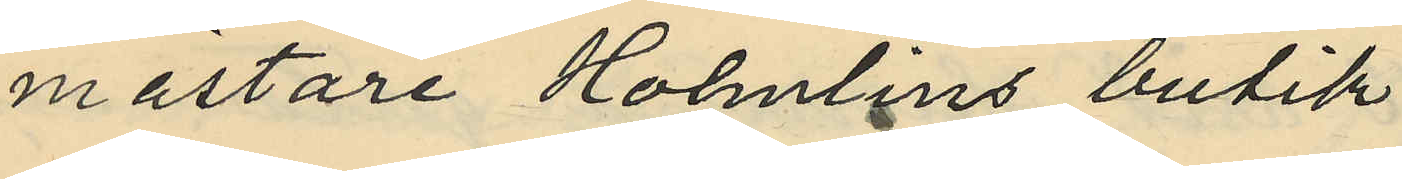mästare Holmlins butik
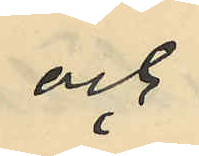och
